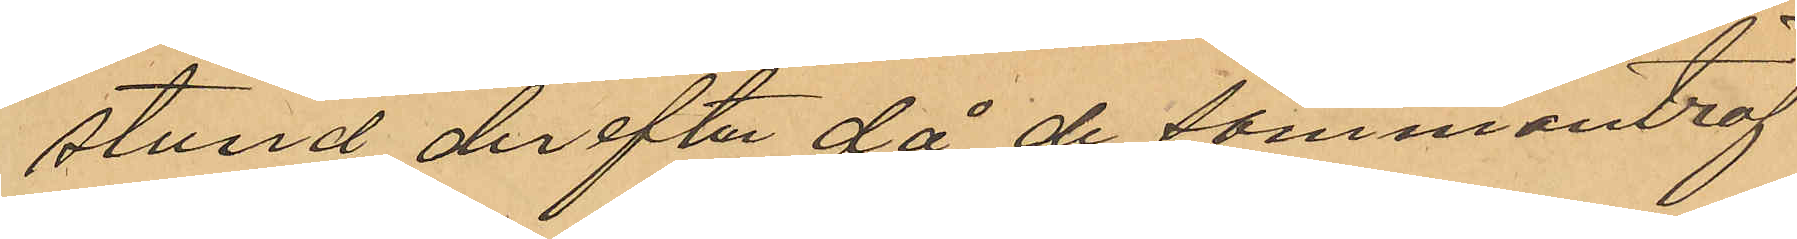stund derefter då de sammanträf¬
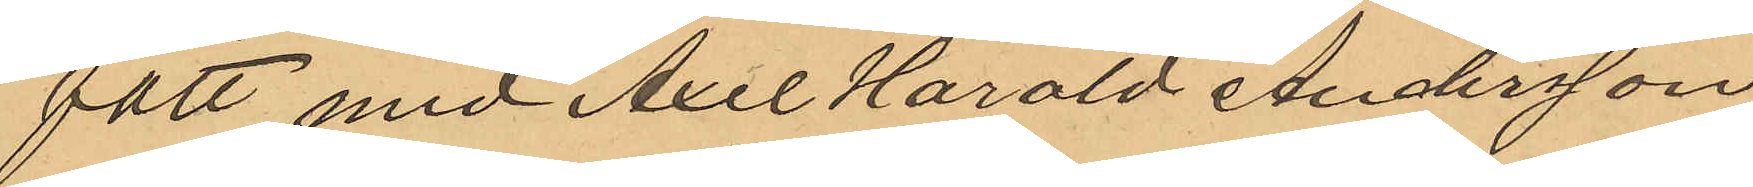fatt med Axel Harald Andersson
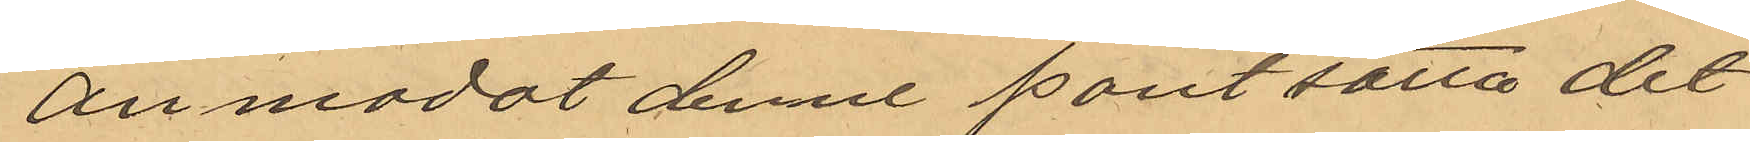anmodat denne pantsätta det
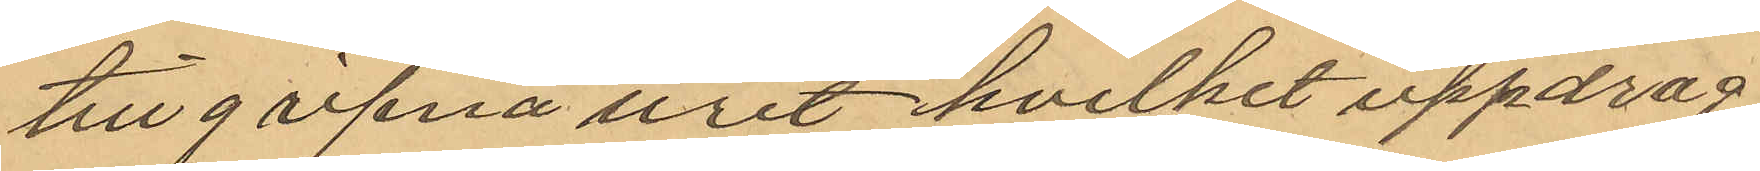tillgripna uret hvilket uppdrag
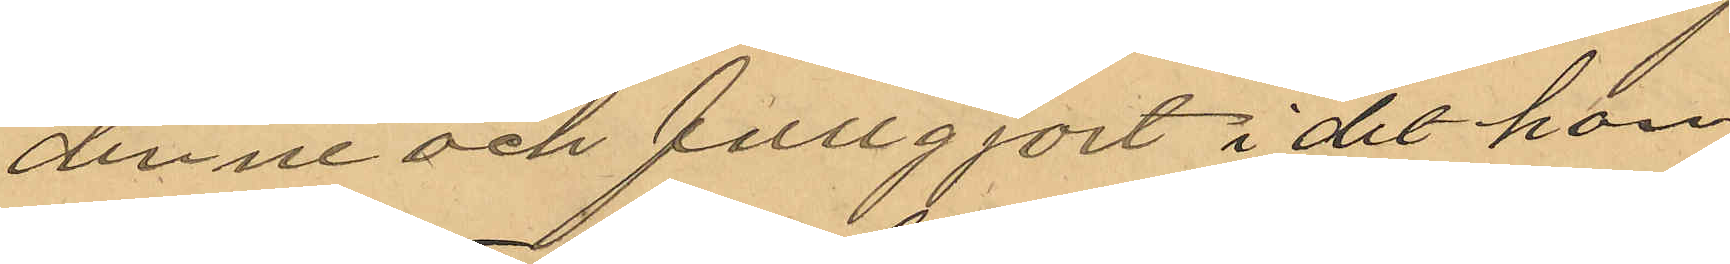denne och fullgjort i det han
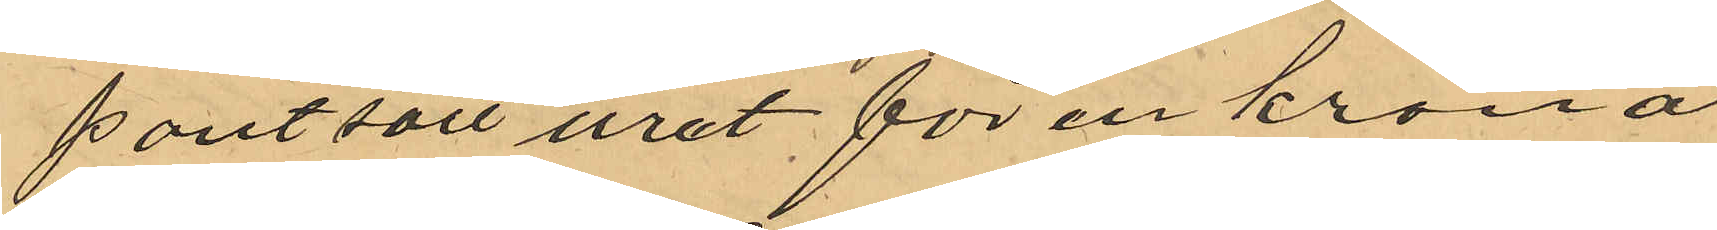pantsont uret för en krona
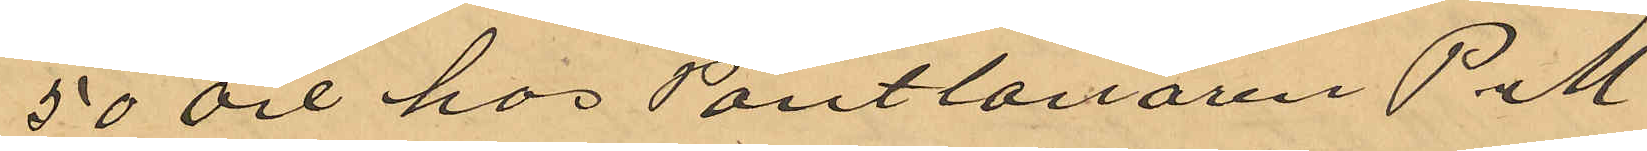50 öre hos Pantlånaren P. M.
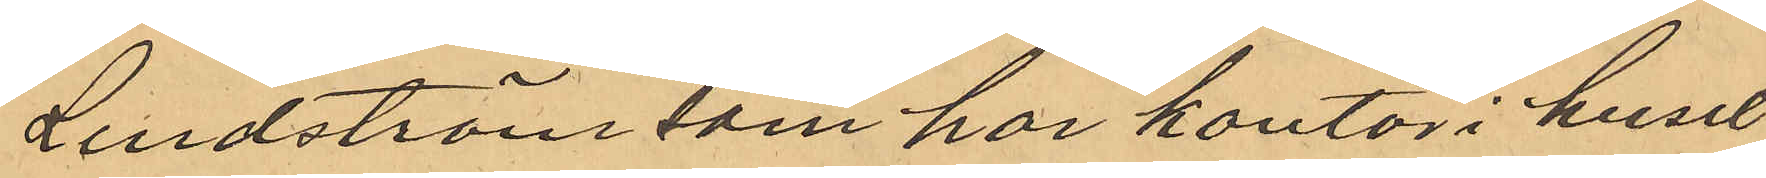Lundström som har kontor i huset
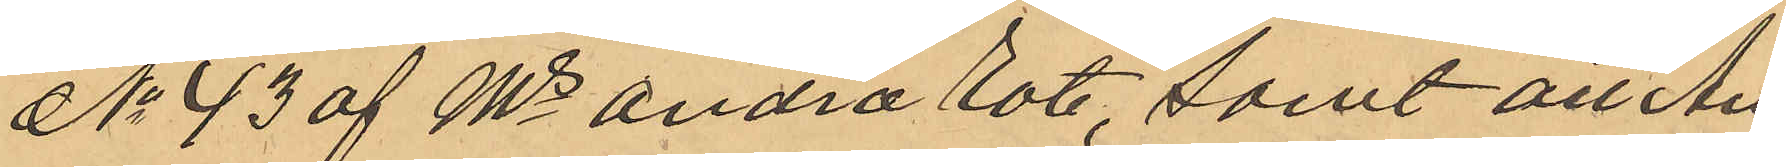No 43 af Ms andra Rote samt att An¬
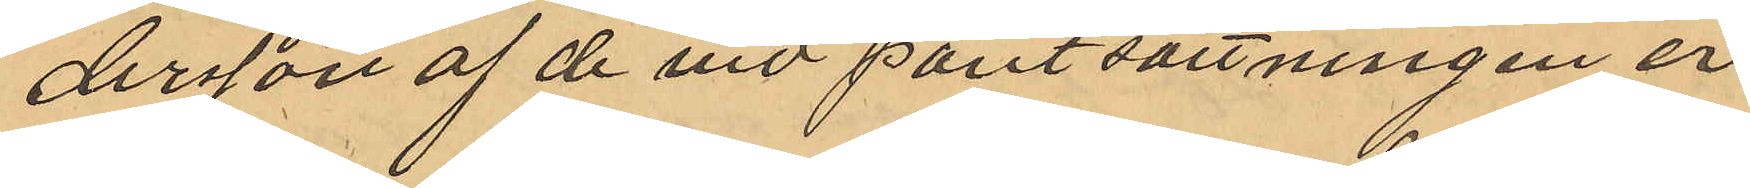dersson af de vid pantsättningen er¬
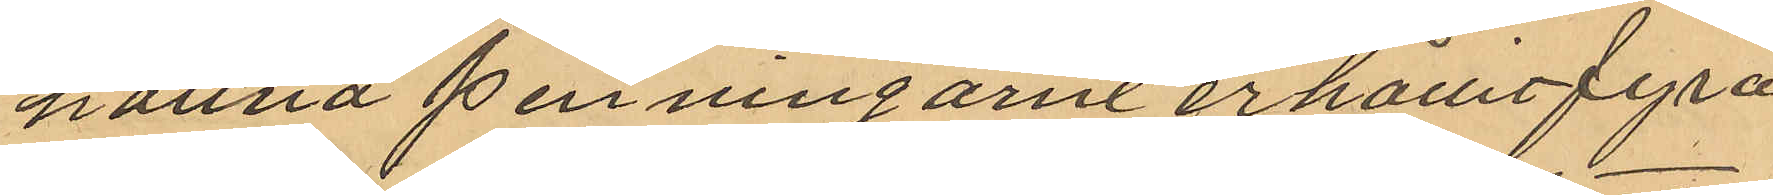hållna penningarne erhållit fyra
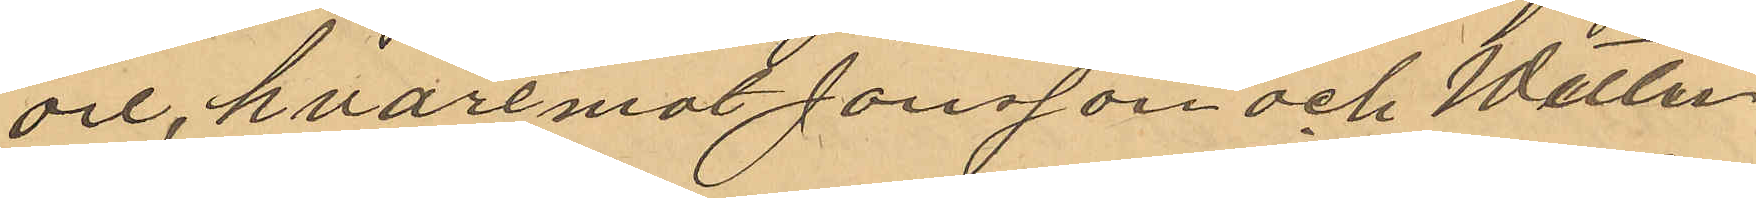öre, hvaremot Jonsson och Wetter¬
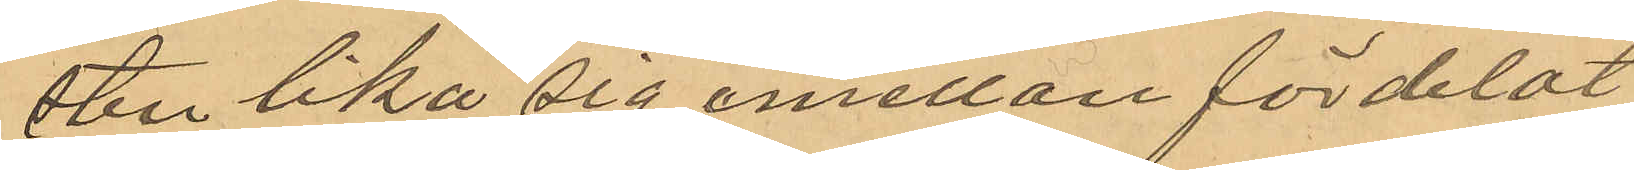sten lika sig emellan fördelat
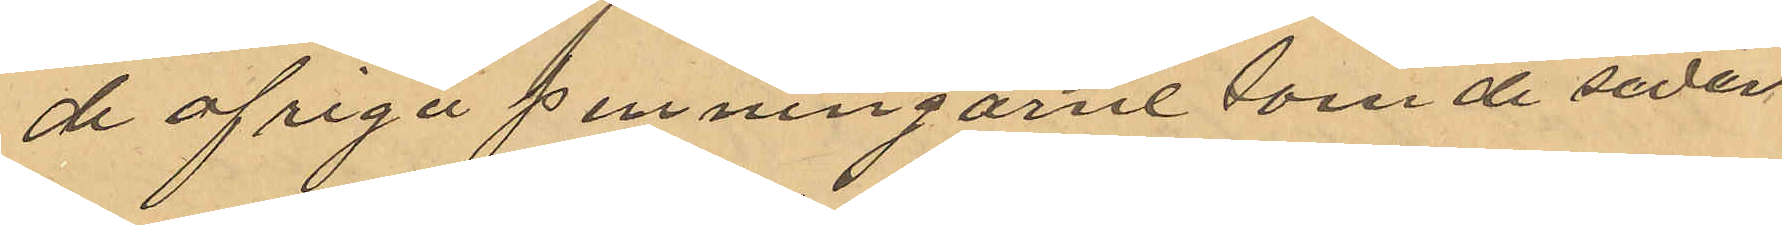de öfriga penningarne som de seder¬
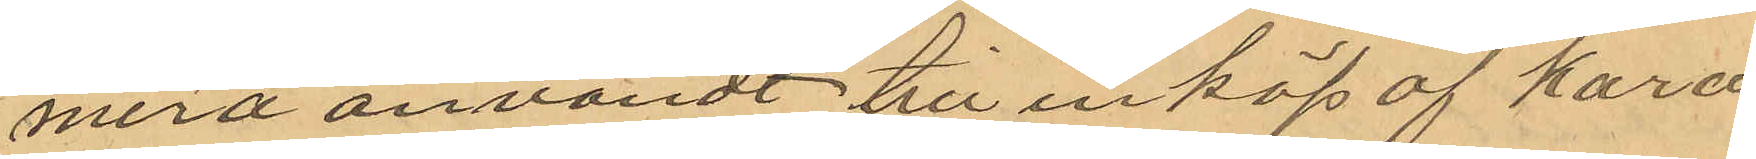mera användt till inköp af kara¬
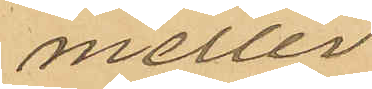meller
